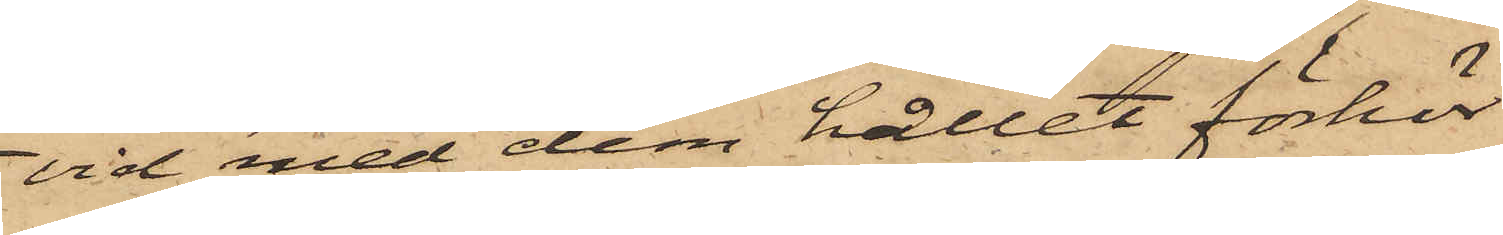vid med dem hållit förhör
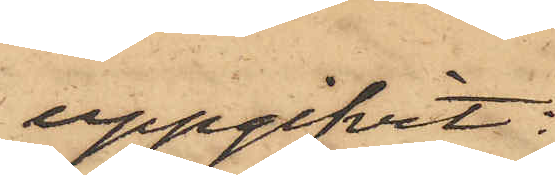uppgifvit:
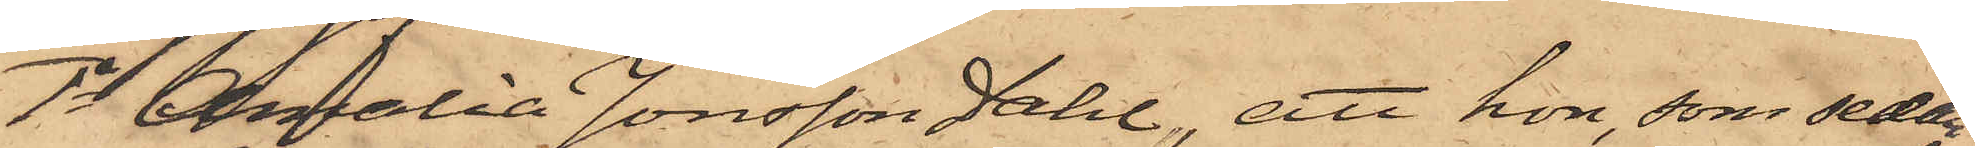1o Amalia Jonsson Dahl, att hon, som sedan
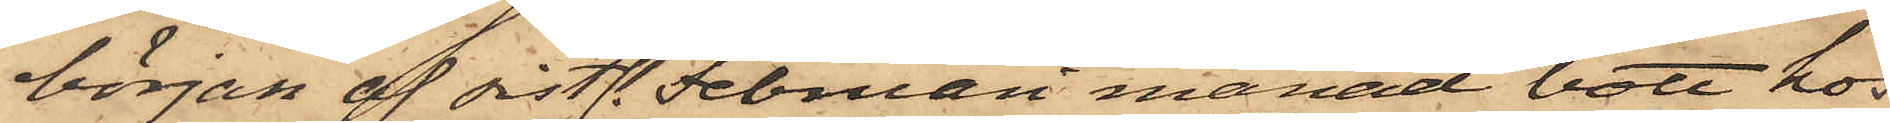början af sistl. Februari månad bott hos
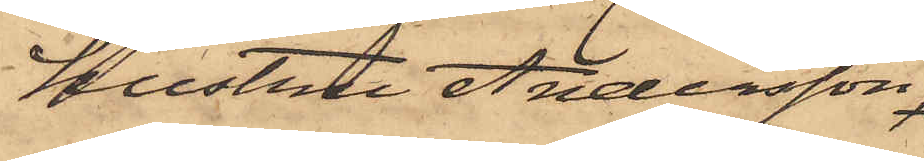hustru Andersson,
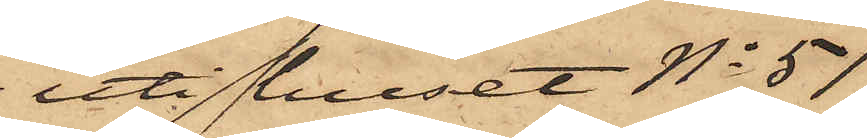uti huset No 51
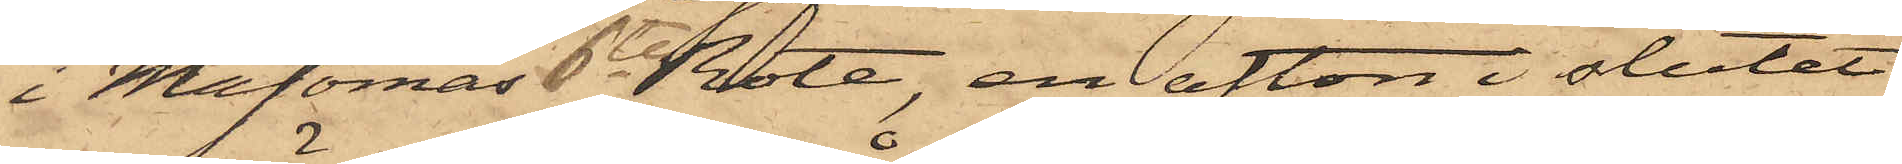i Majornas 6te Rote, en afton i slutet
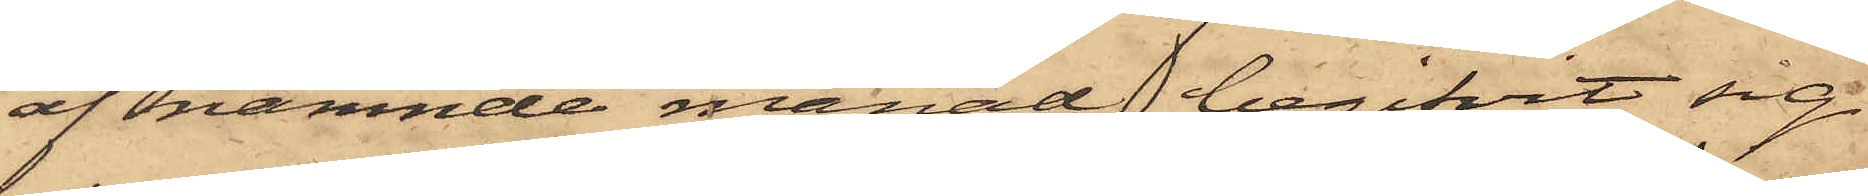af nämnde månad begifvit sig
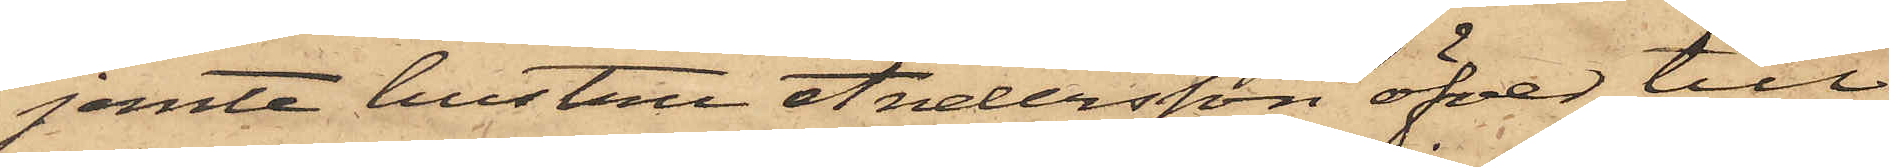jemte hustru Andersson öfver till
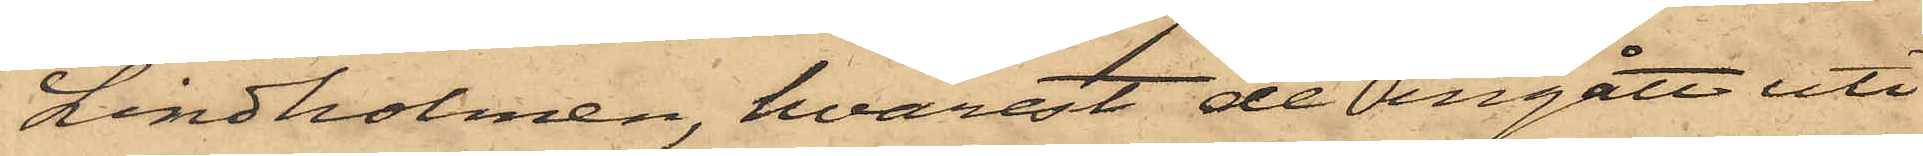Lindholmen, hvarest de ingått uti
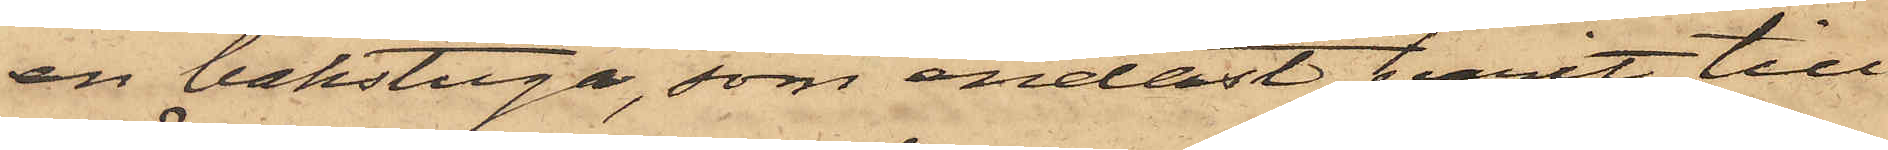en bakstuga, som endast varit till¬
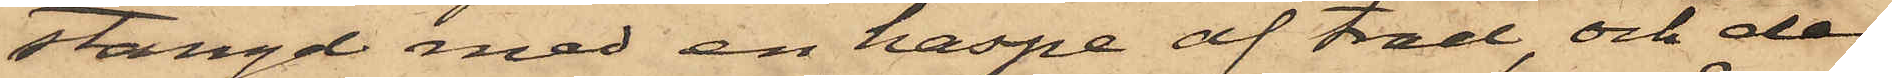stängd med en haspe af träd, och der
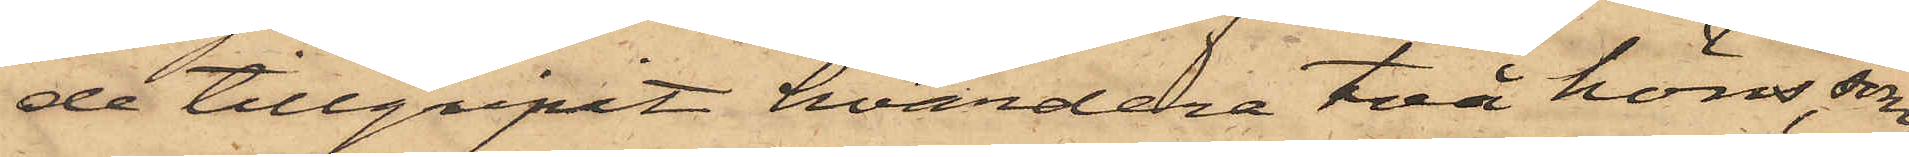de tillgripit hvardera två höns, som
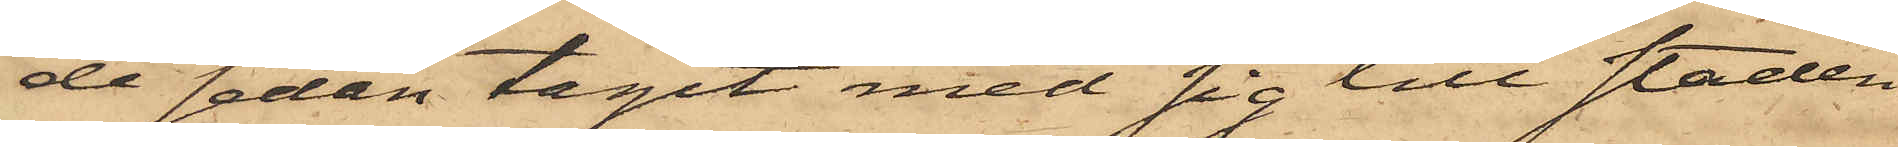de sedan tagit med sig till staden
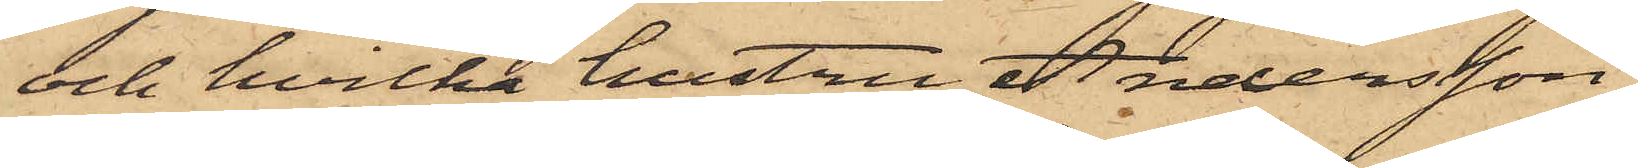och hvilka hustru Andersson
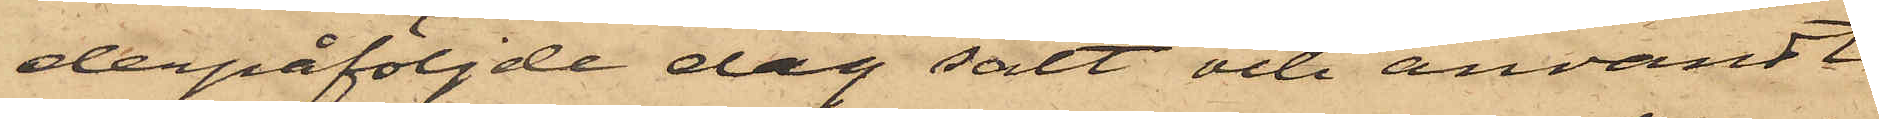derpåföljde dag sålt och användt
